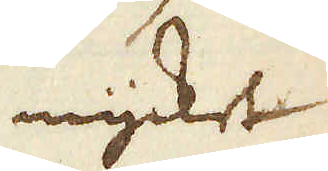mycket
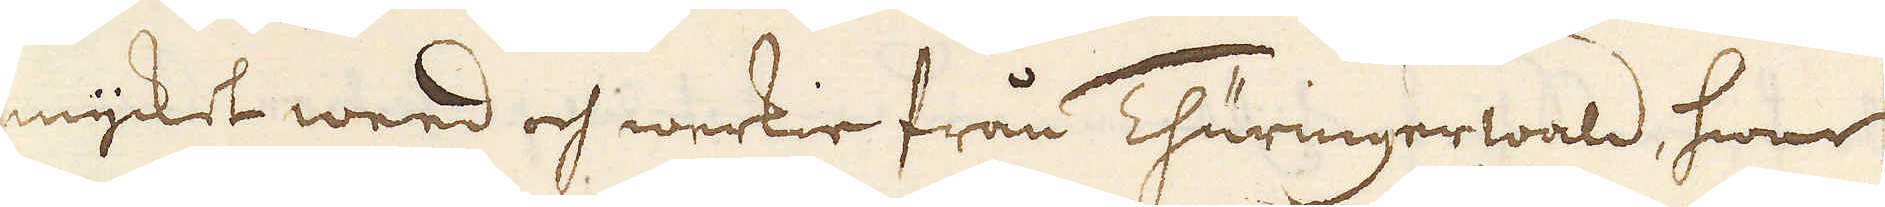mycket weed och werkie från Thuringerwald, hwar
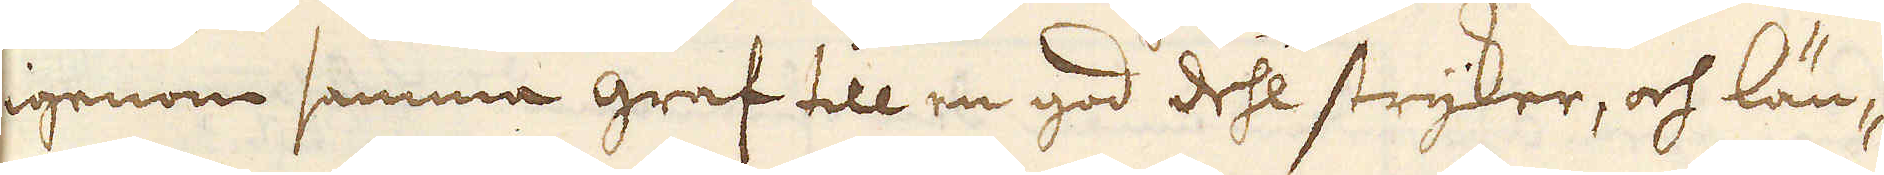igenom samma graf till en god dehl stryker, och län-
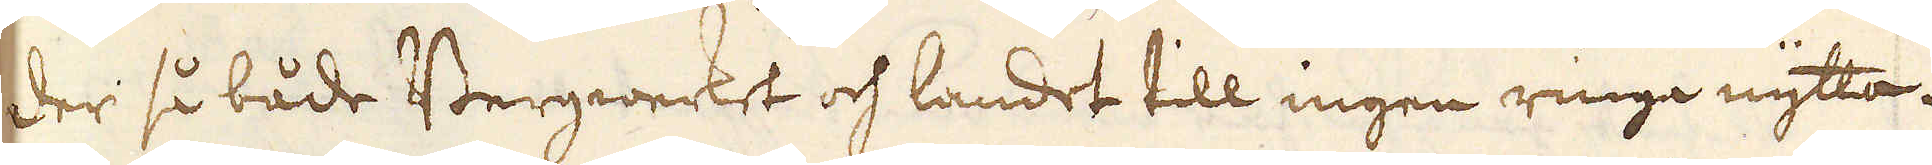der så både Bergwerket och landet till ingen ringa nytta.
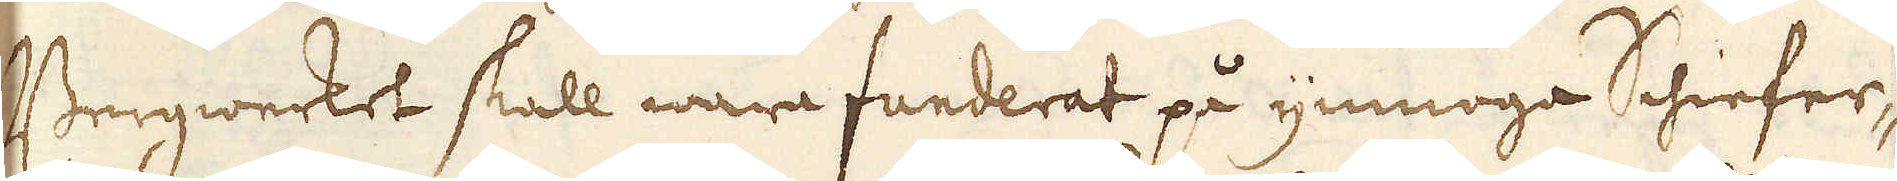Bergwerket skall wara funderat på ymnoga Schiefer-
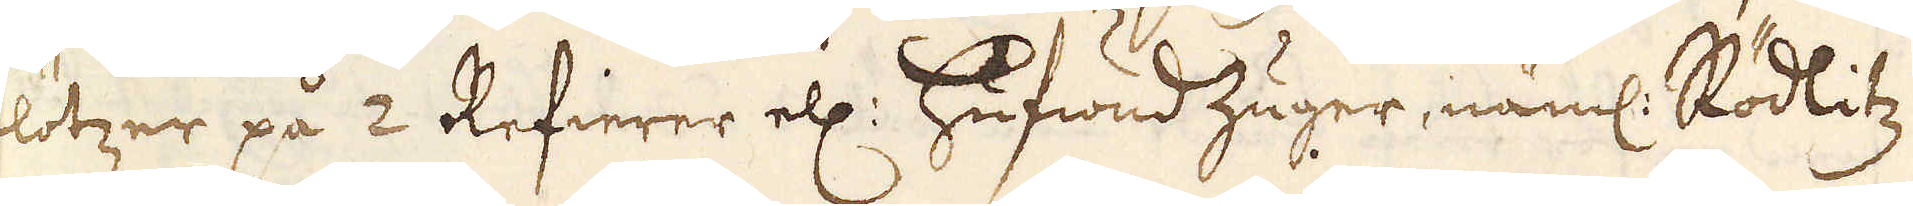flötzer på 2 Refierer ell: hufwud Zuger, näml: Rödlitz
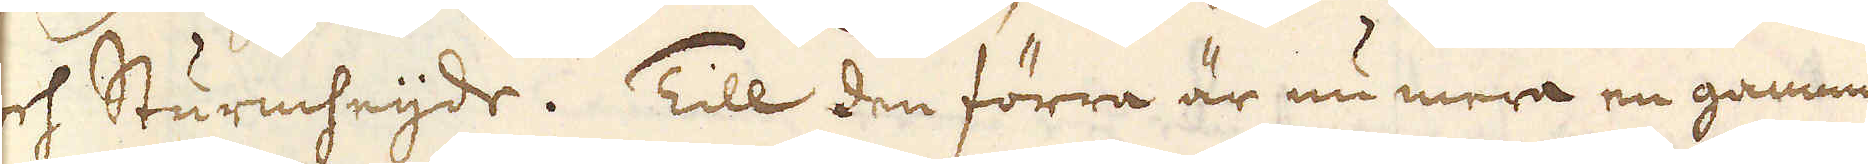och Sturmheijde. Till den förra är nu mera en gammal
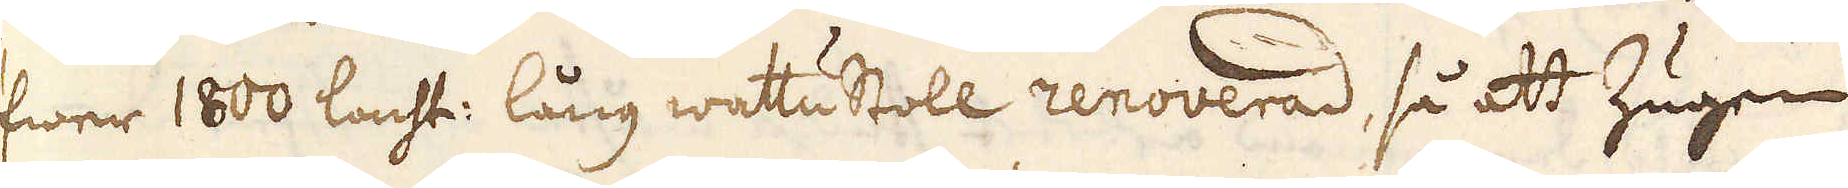öfwer 1800 lacht: lång watustoll renoverad, så att Zugen
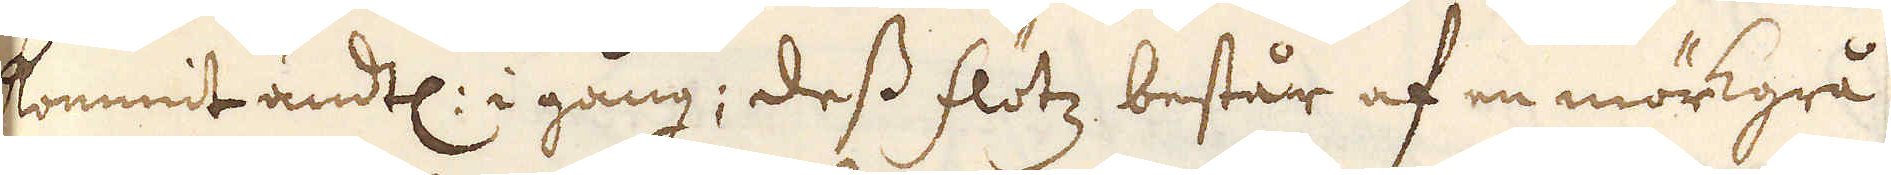kommit ändtl: i gång; dess flötz består af en mörkgrå
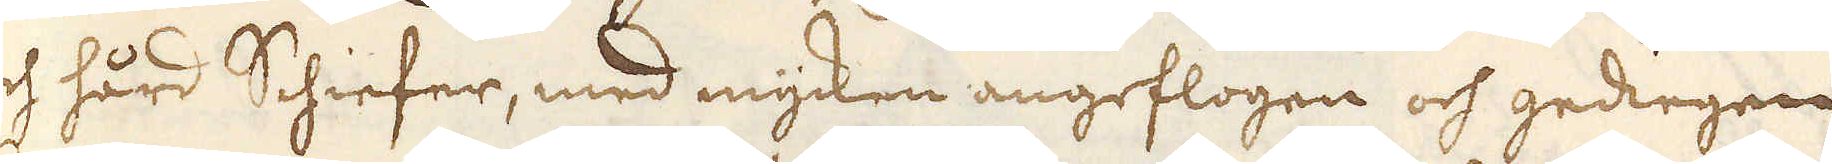och hård Schiefer, med mycken angeflogen och gediegen
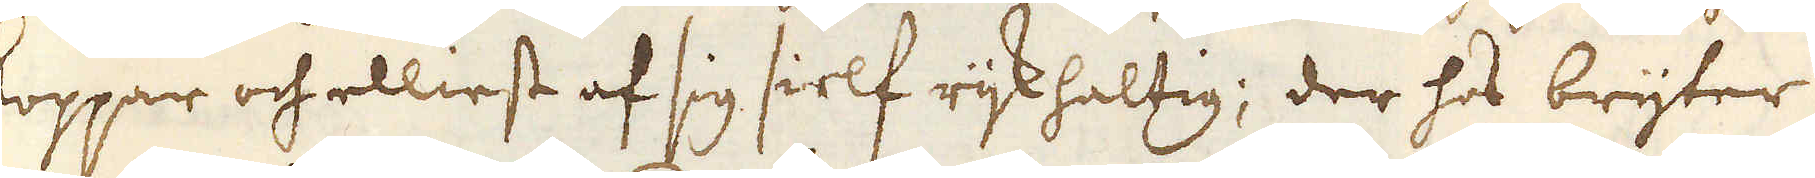koppar och elliest af sig sielf rijk haltig; der hos bryter
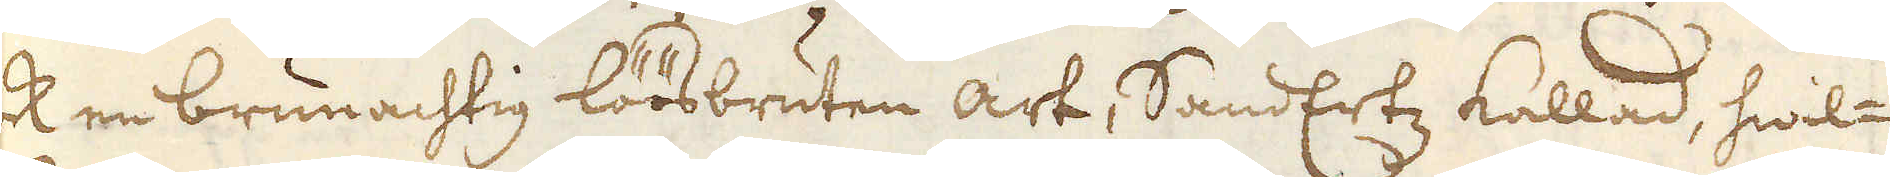ock en brunachtig löösbruten art, SandErtz kallad, hwil-
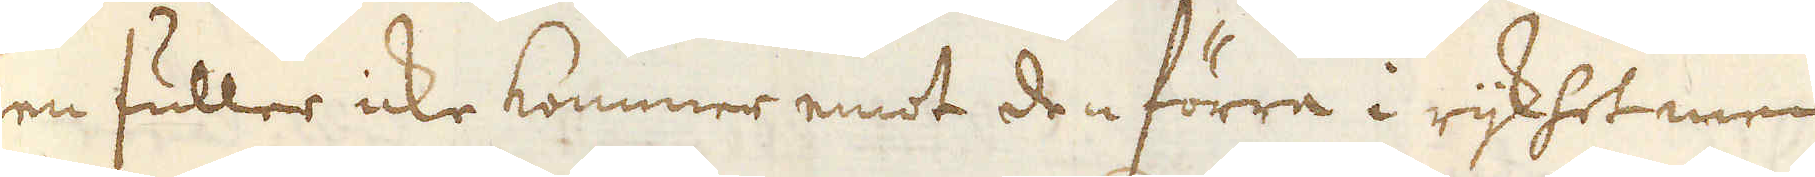ken fuller icke kommer emot den förra i rijkhet men
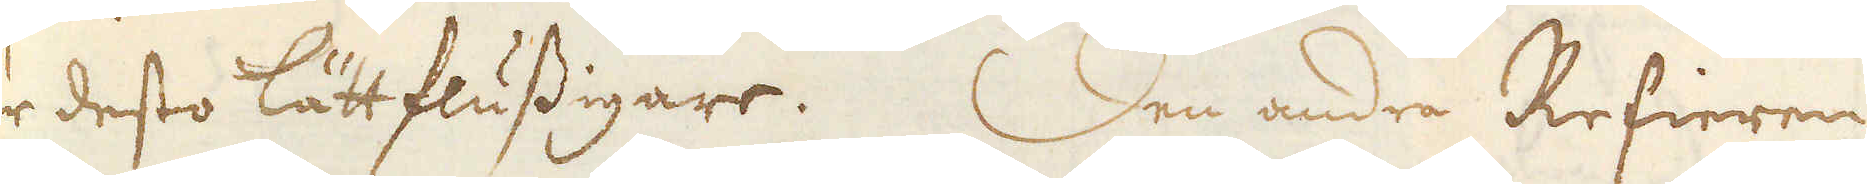är desto lättflussigare. Den andra Refieren
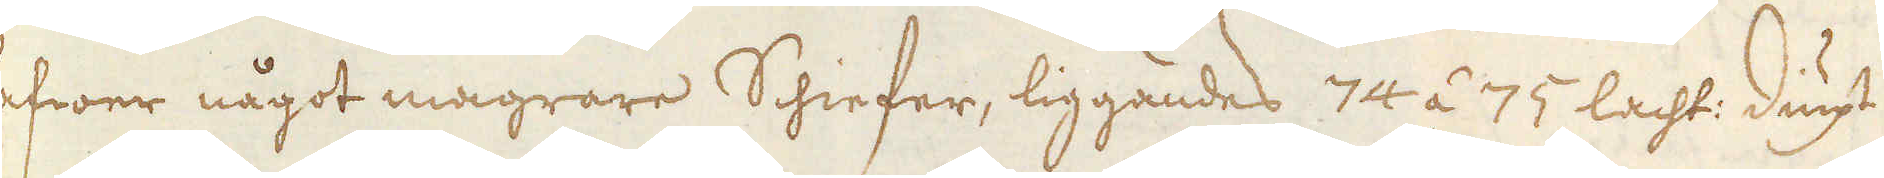hafwer något magrare Schiefer, liggandes 74 á 75 lacht: diupt
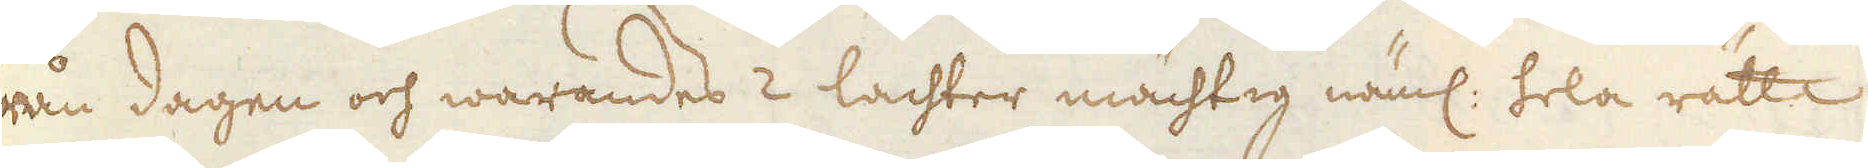från dagen och warandes 2 lachter mächtig näml: hela rätta
